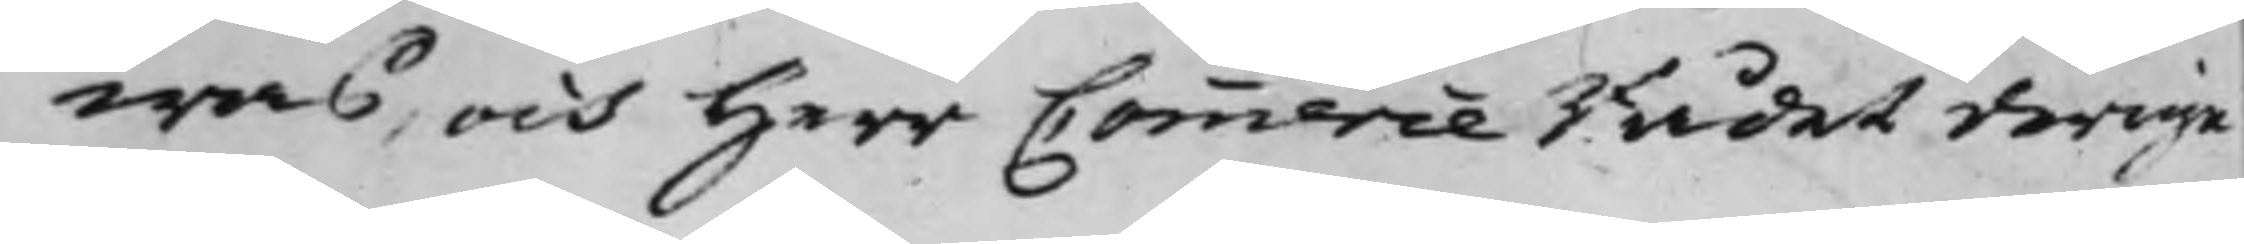was, och Herr Commerce Rådet derige¬
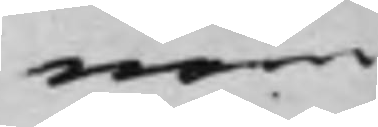nom
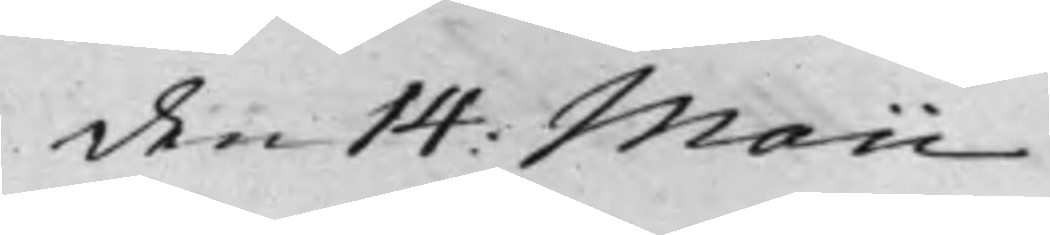den 14: Maii.
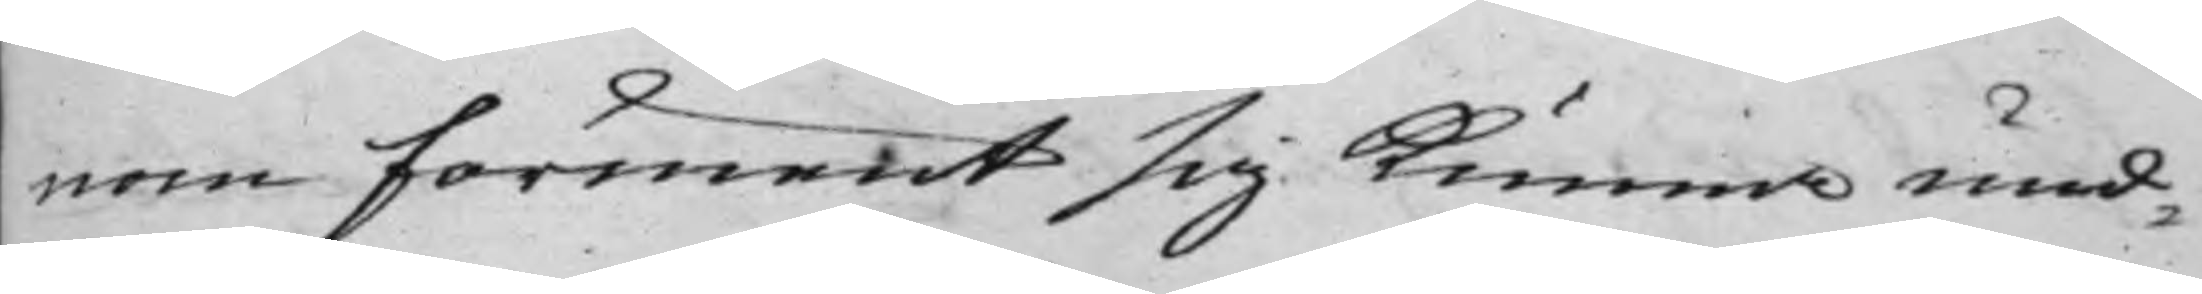nom förment sig Kunna und¬
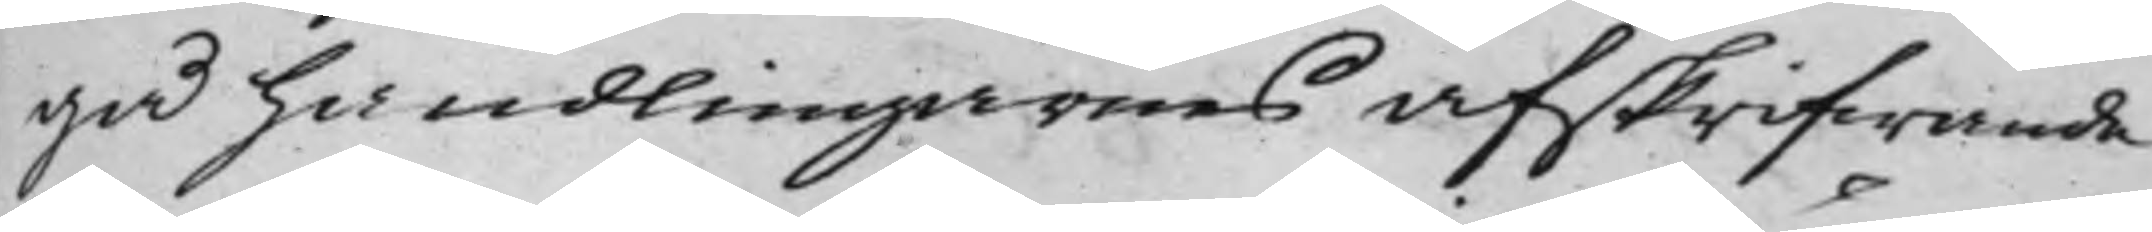gå handlingarnes afskrifwande
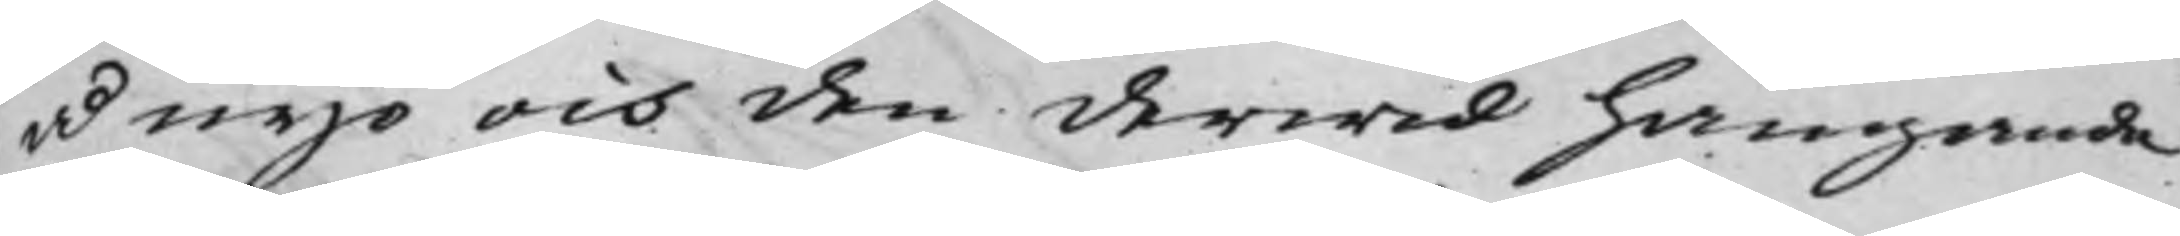ånyo och den derwid hängande
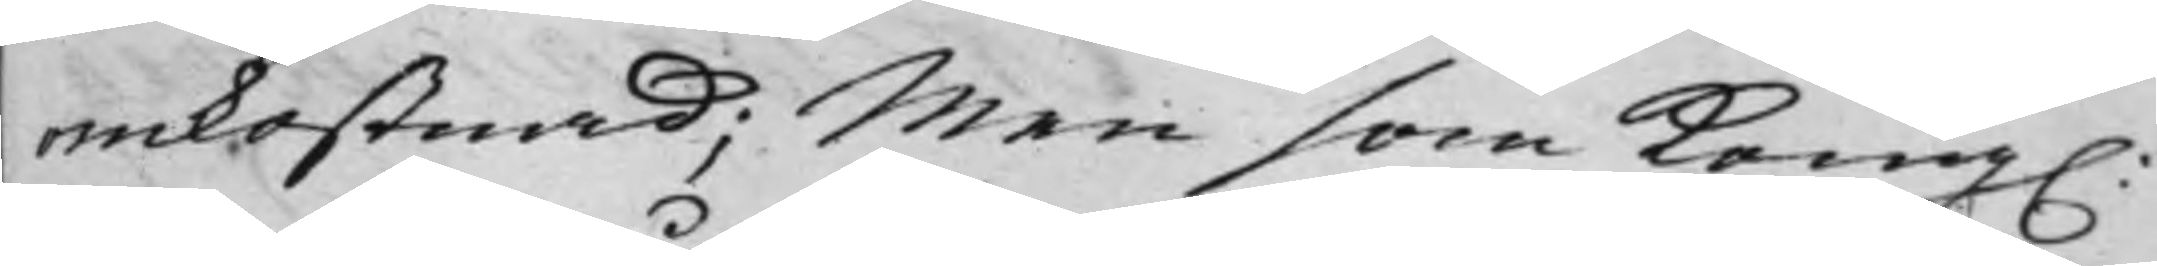omkostnad; Men som Kong.
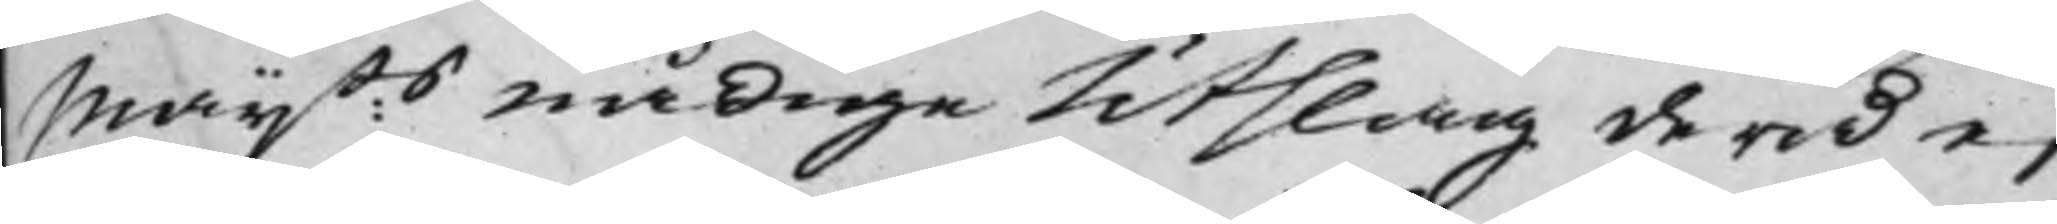Maij:ts nådige Utslag derå ej
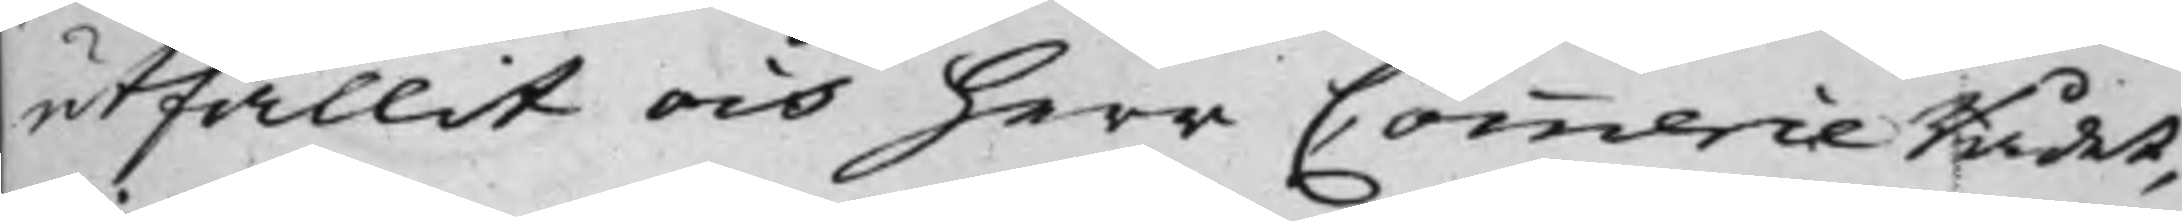utfallit och herr Commerce Rådet,
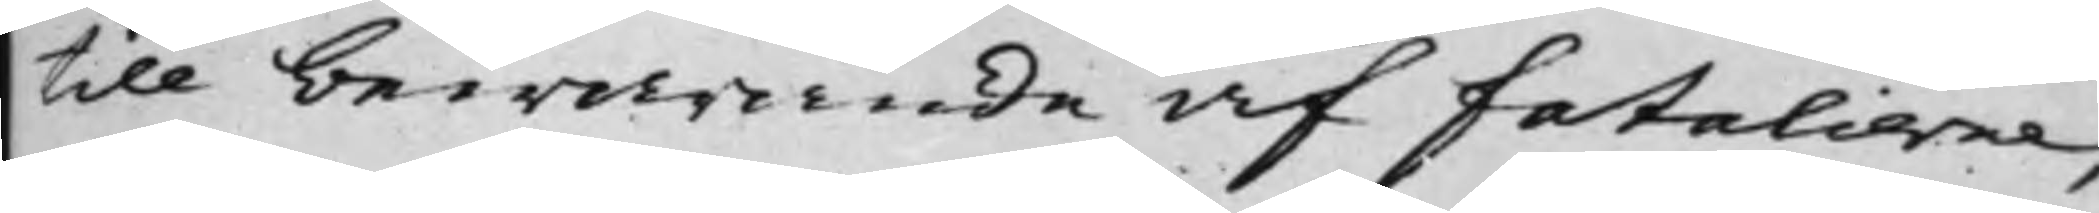till bewarande af fatalierne,
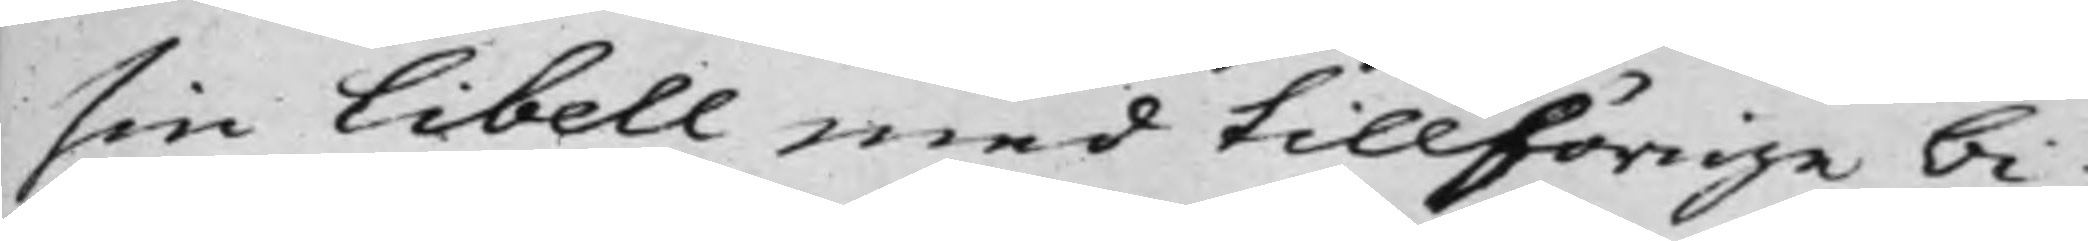sin libell med tillhörige bi¬
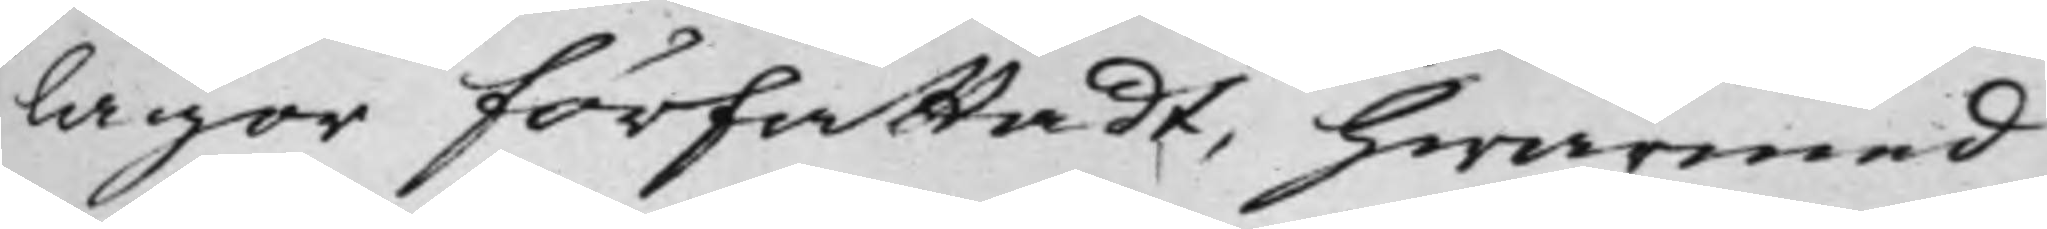lagor författadt, hwarmed
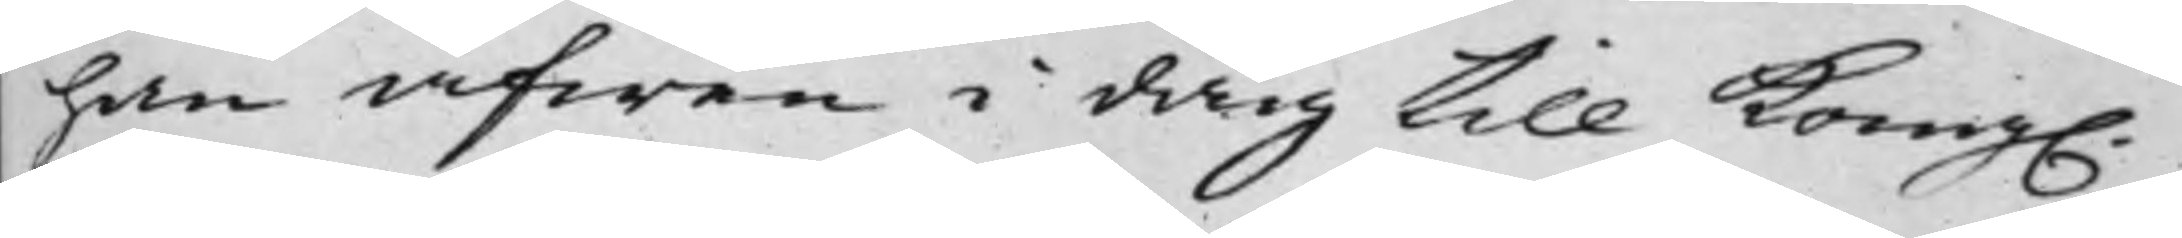han äfwen i dag till Kong.
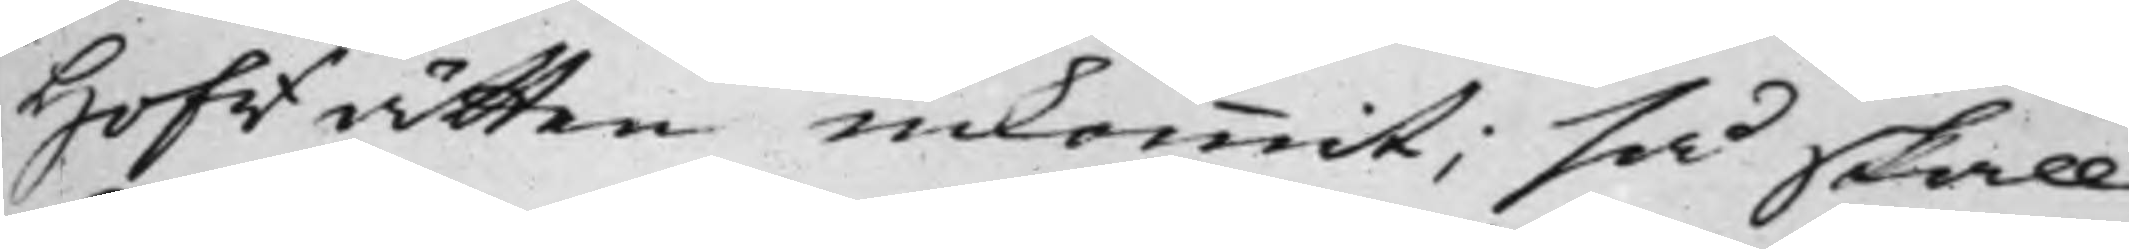Hofrätten inkommit; så skall
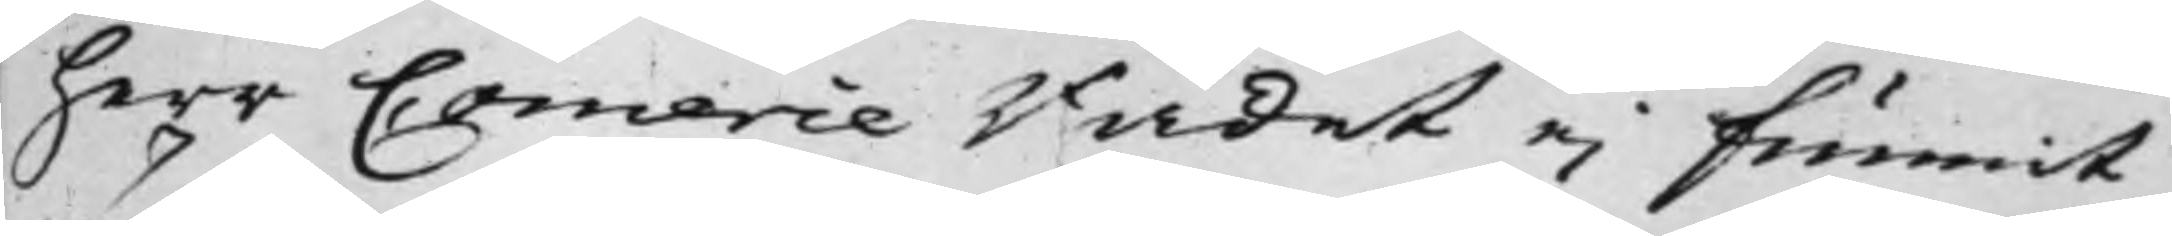herr Comerce Rådet ej funnit
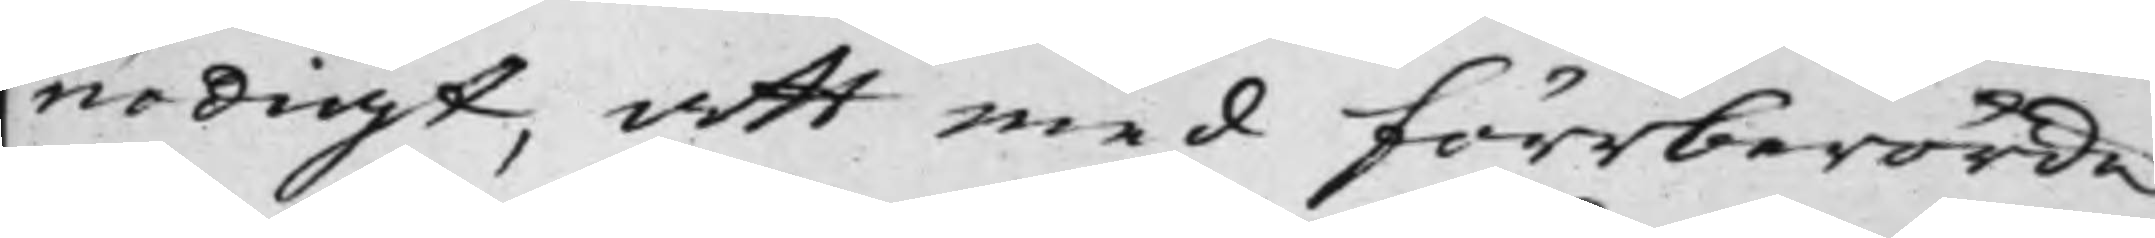nödigt, att med förrberörda
